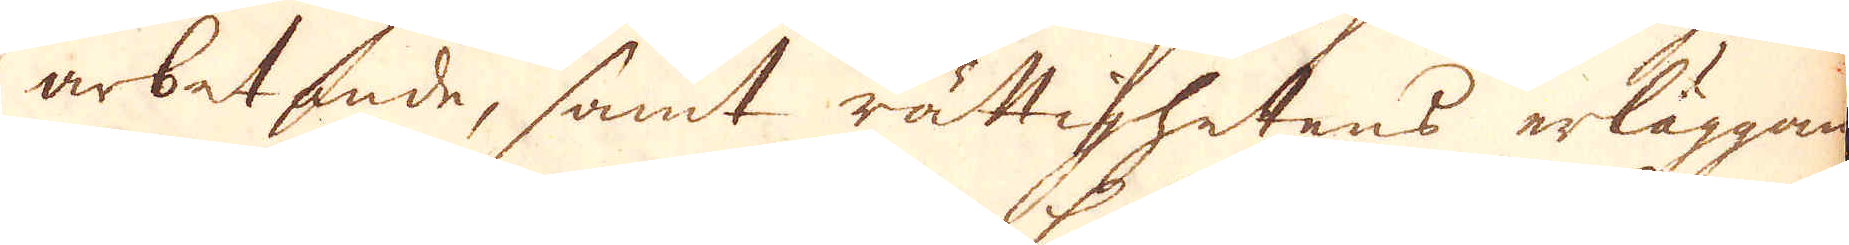arbetande, samt rättighetens erläggande
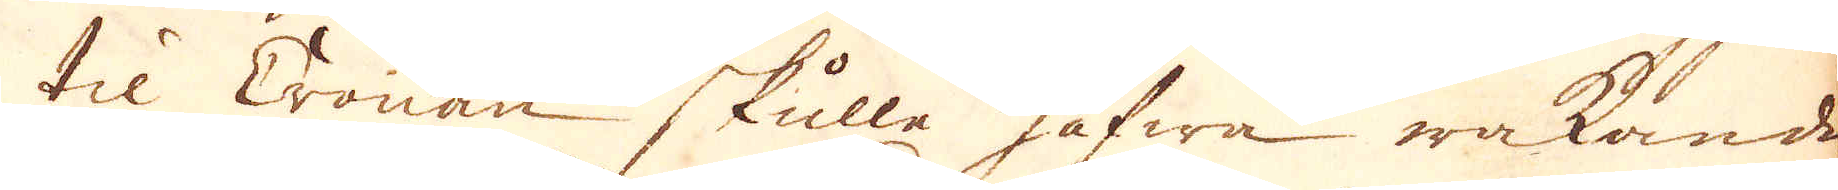til Cronan skulle hafwa wakande
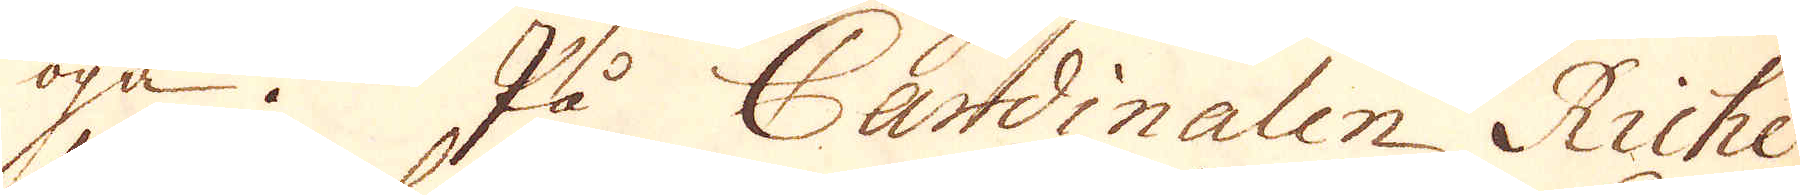öga. På Cardinalen Riche-
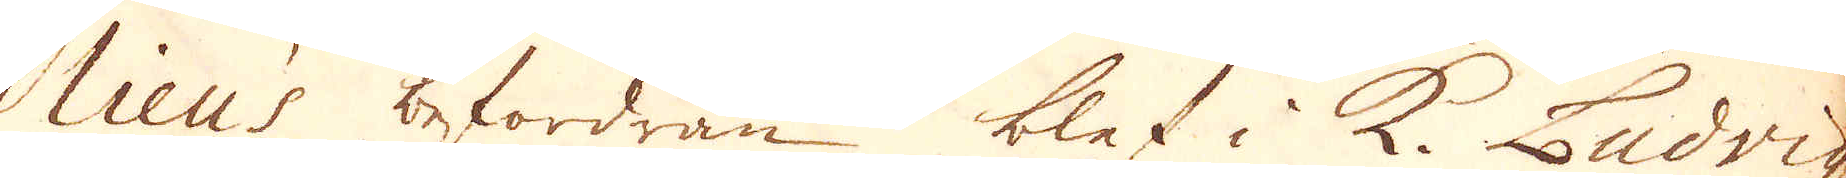ieu befordran blef i K. Ludvig
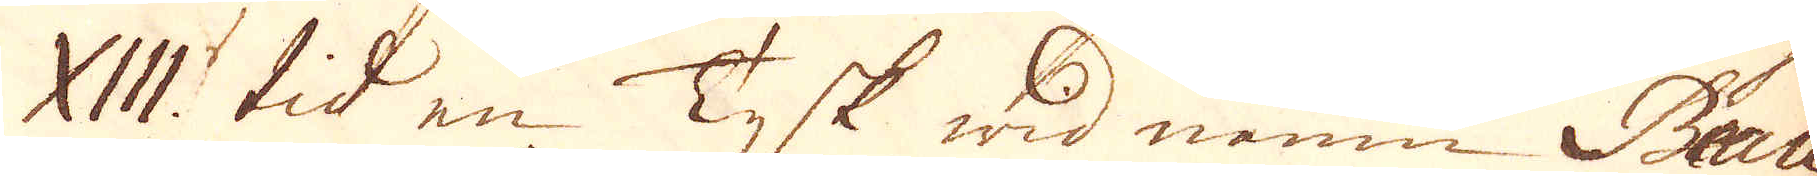WII. tid en Tysk wid namn Beau
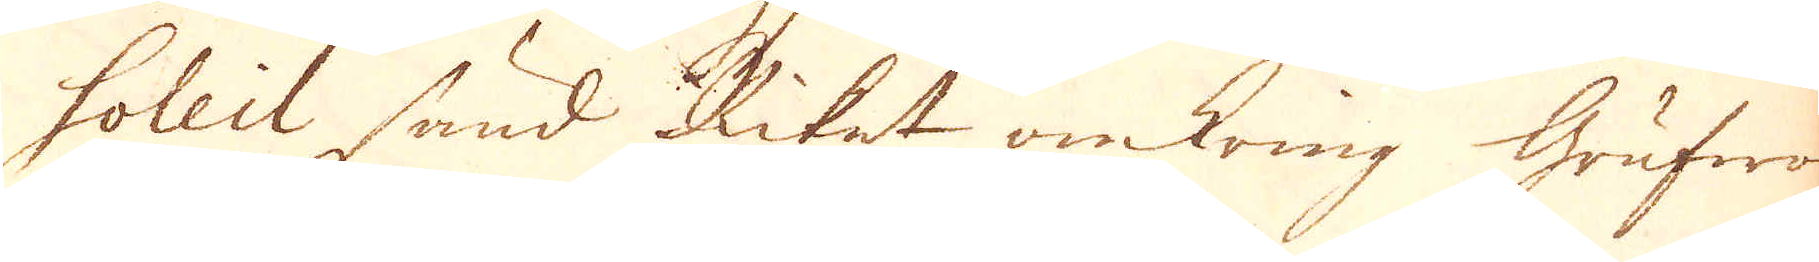soleil sänd Riket omkring Grufwor
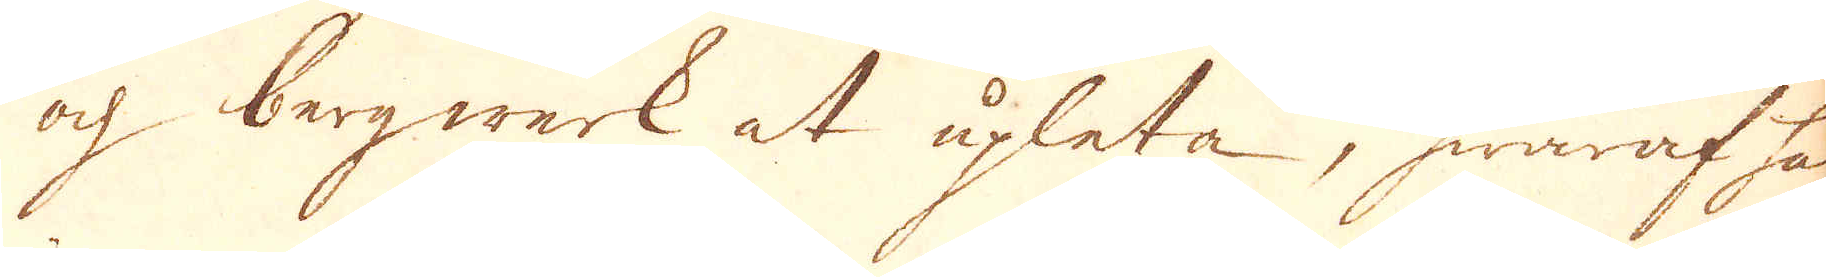och bergwerk at upleta, hwaraf han
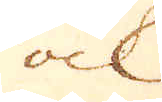ock
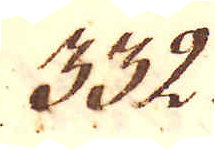332.
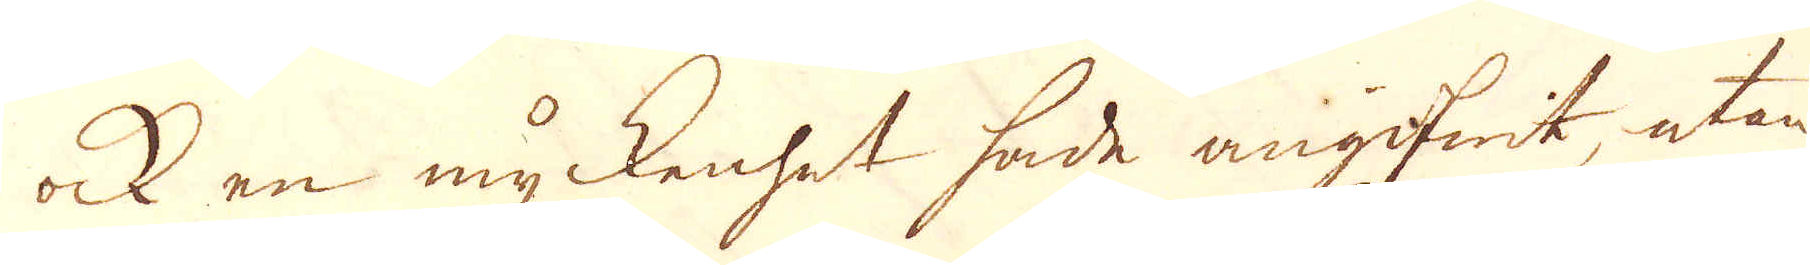ock en myckenhet hade angifwit, utan
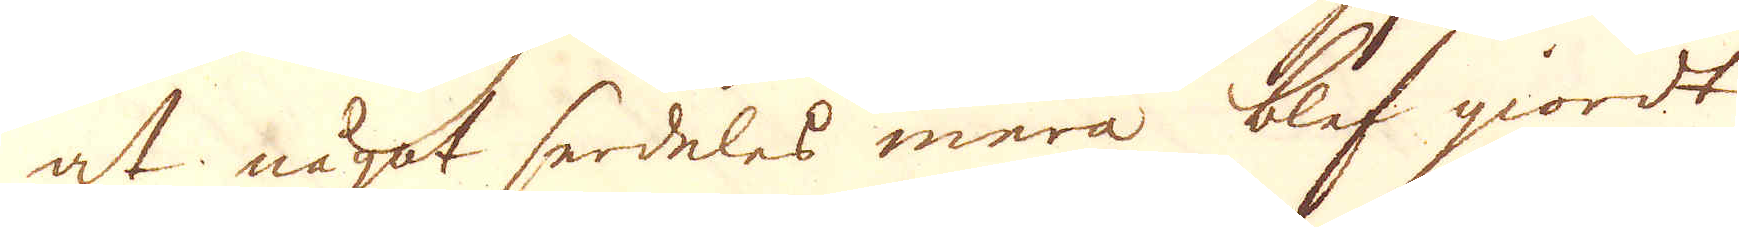at något serdeles mera blef giordt
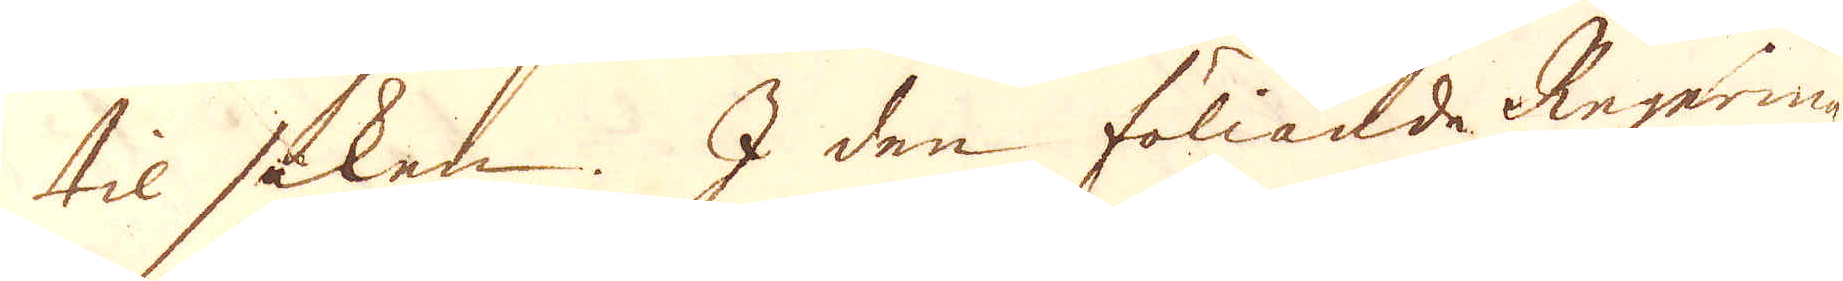til saken. I den föliande Regering
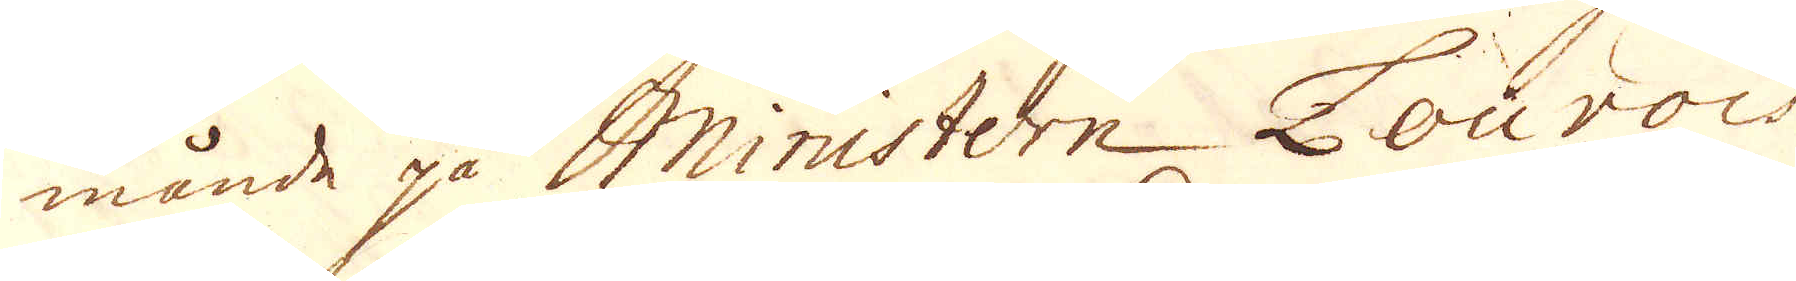månde på Ministern Louvois
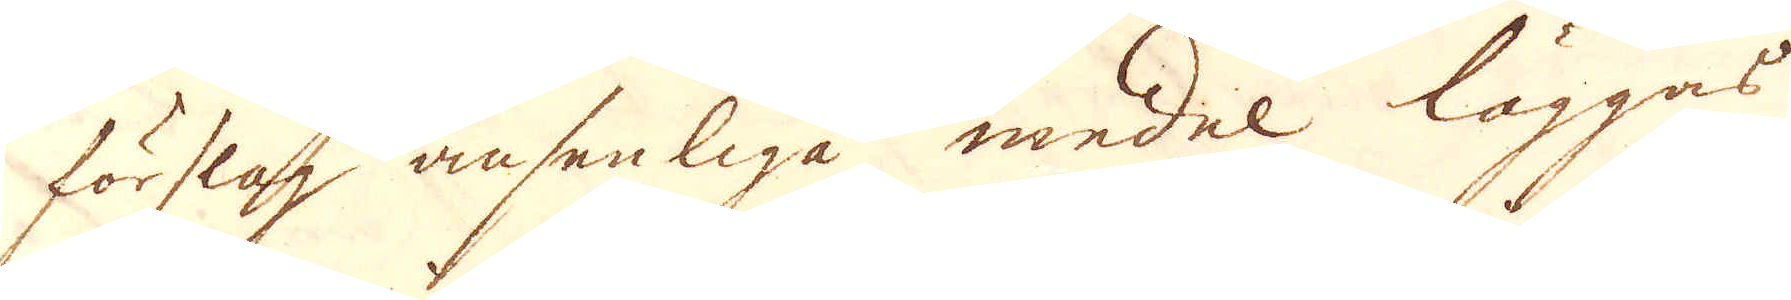förslag ansenliga medel läggas
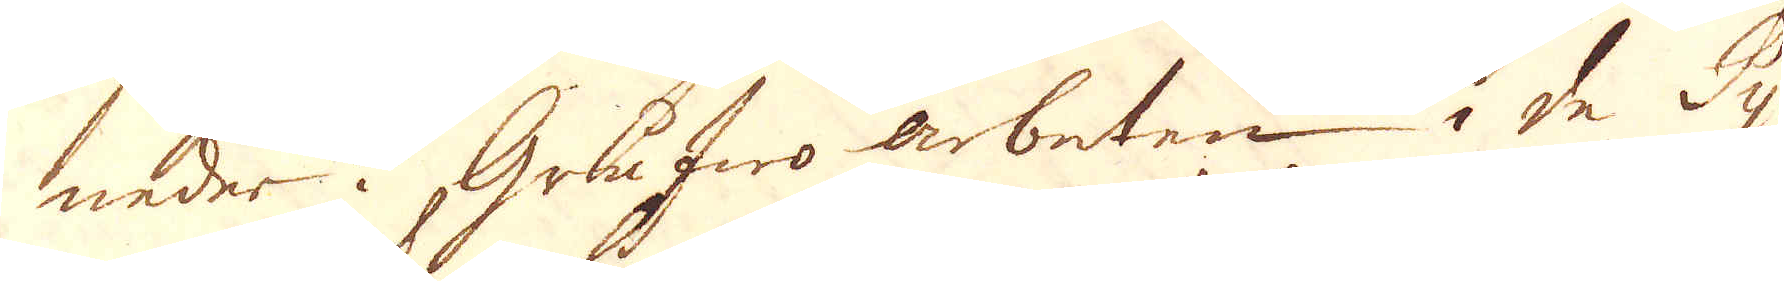neder i Grufwo arbeten i de Py-
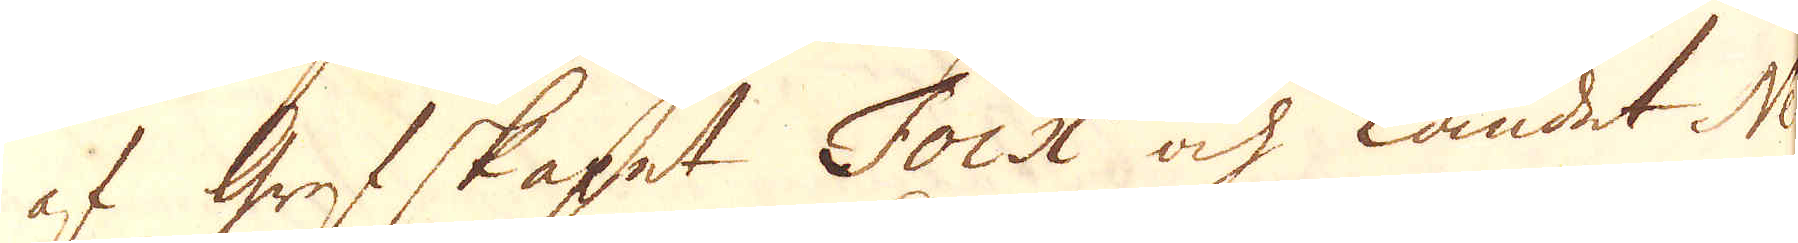af Grefskapet Foix och landet Ne
